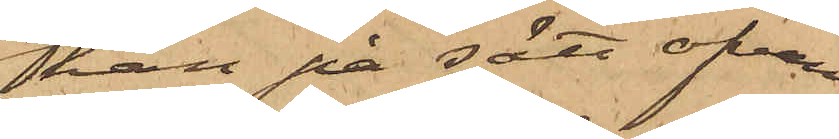han på sätt ofvan
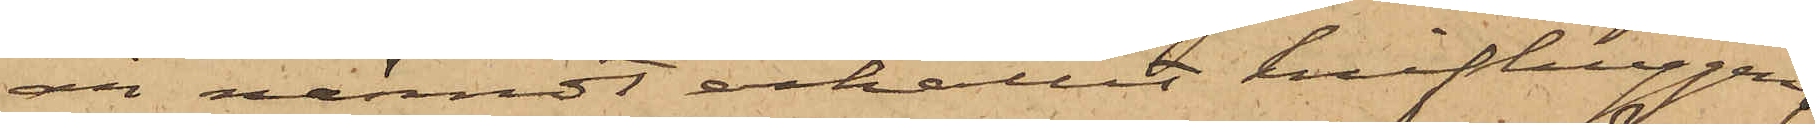är nämndt erhållit knifhuggen,
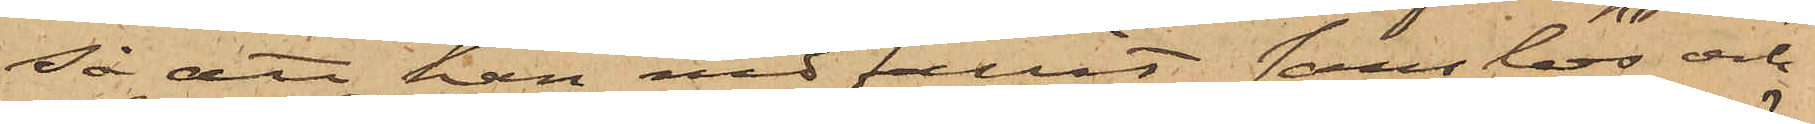så att han nedfallit sanslös och
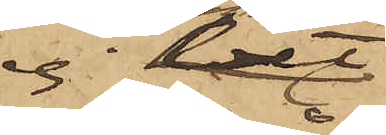ej
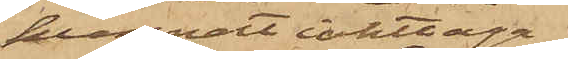kunnat iakttaga
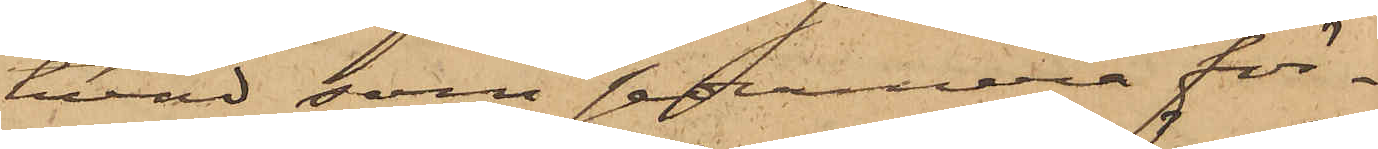hvad som sedermera för¬
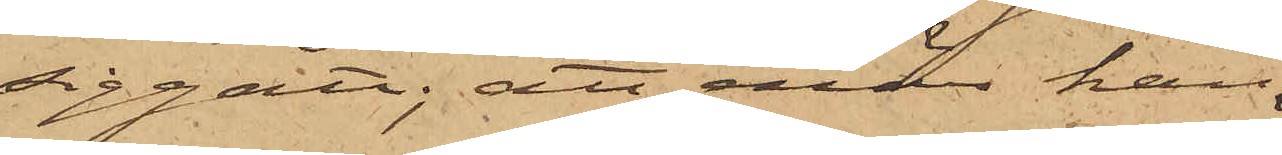siggått; att enär han
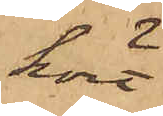hört
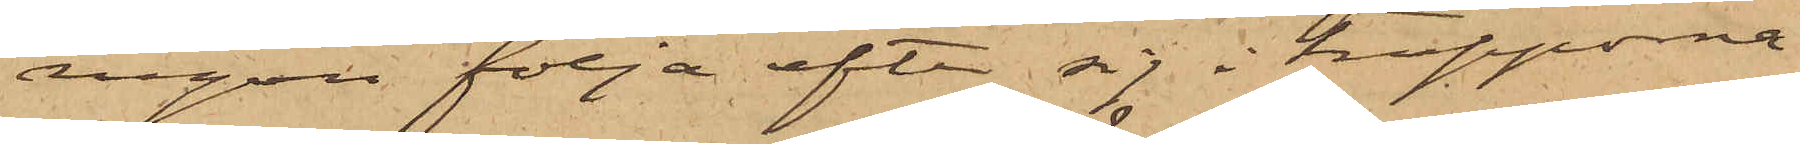någon följa efter sig i trapporna
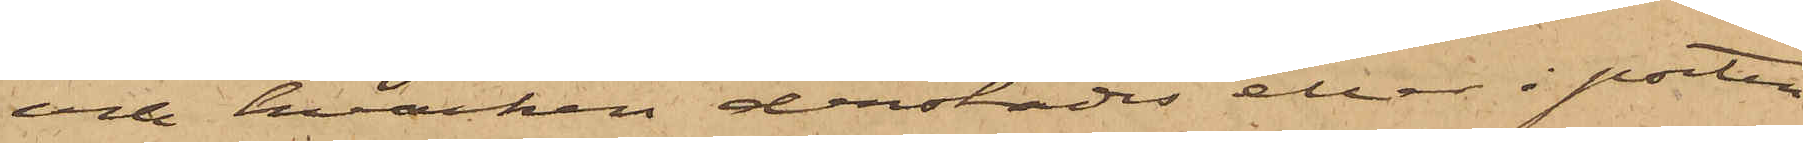och hvarken derstädes eller i porten
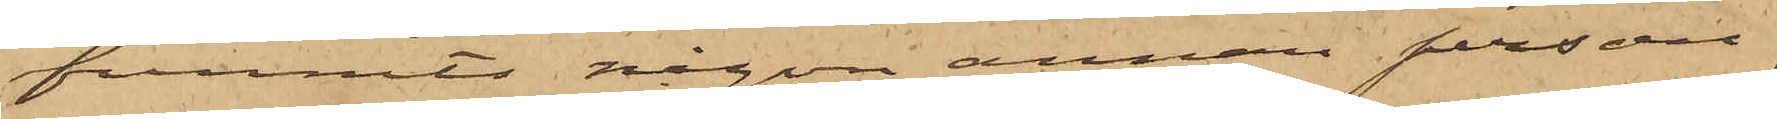funnits någon annan person,
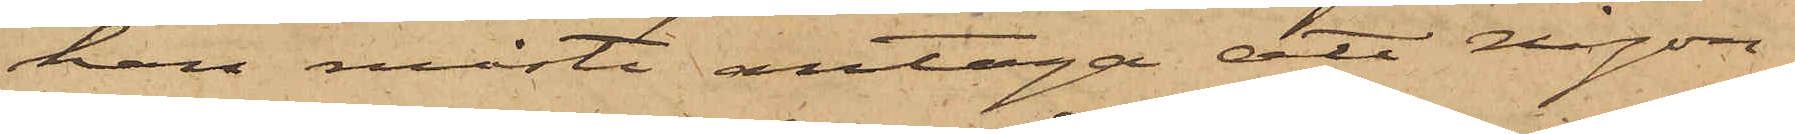han måste antaga att någon¬
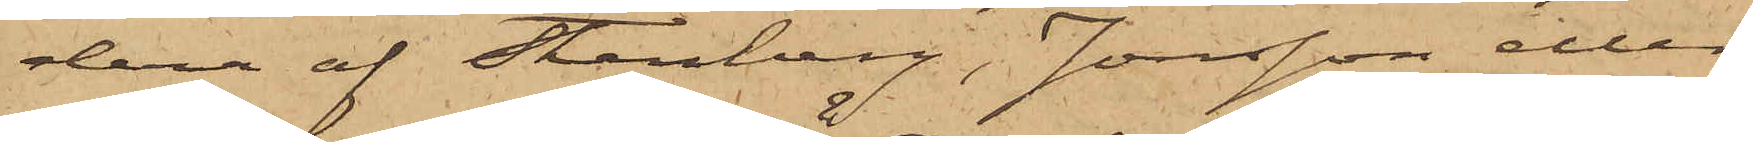dera af Stenberg, Jonsson eller
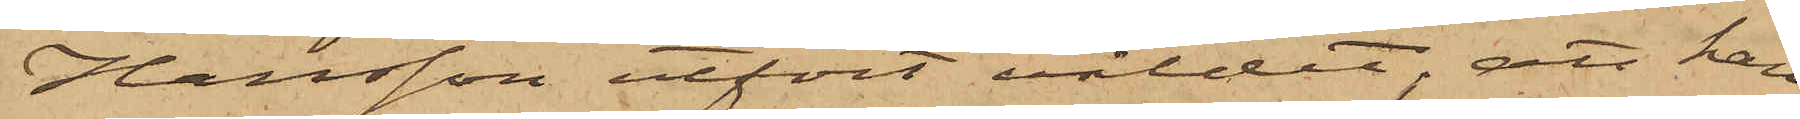Hansson utfört våldet; att han
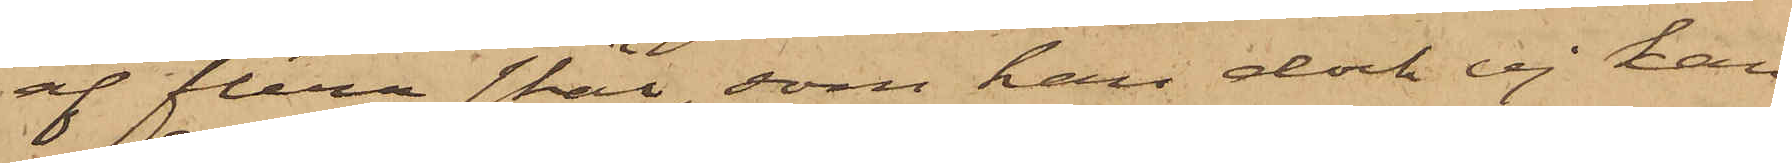af flera skäl, som han dock ej kan
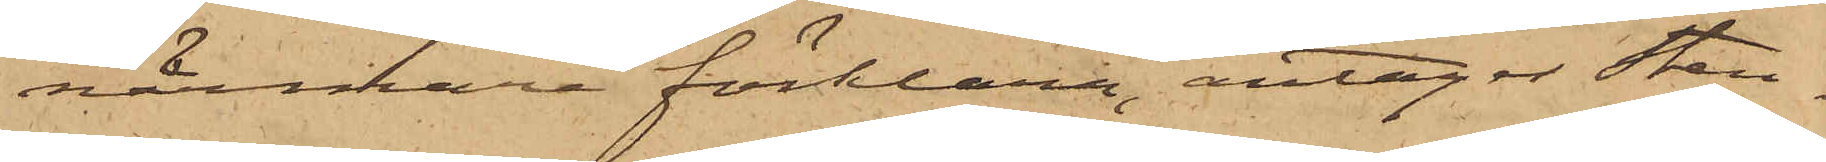närmare förklara, antager Sten¬
